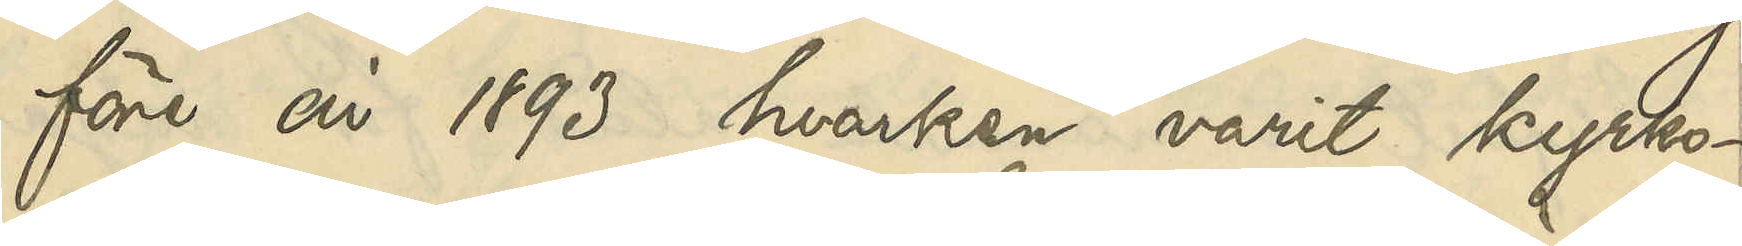för år 1893 hvarken varit kyrko -
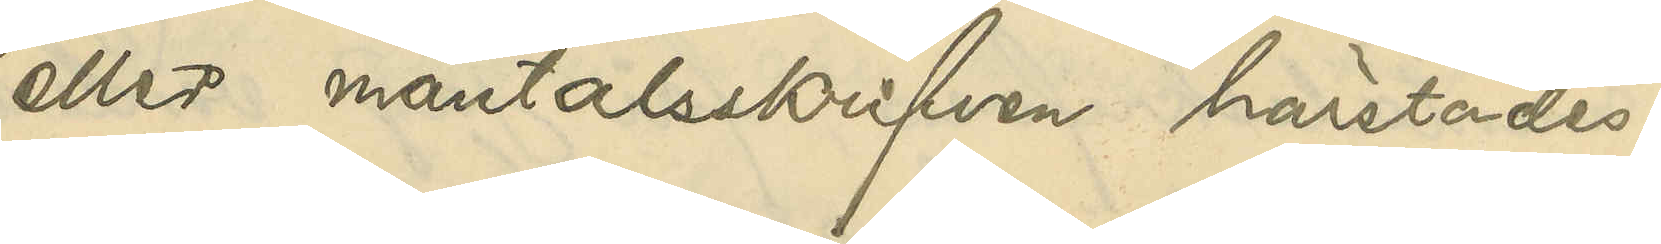eller mantalsskrifven härstädes.
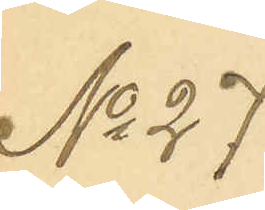No 27
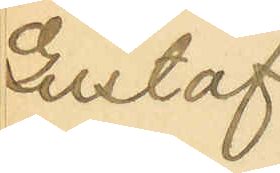Gustaf
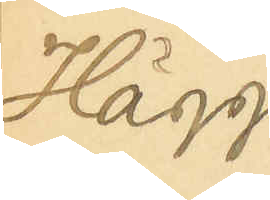Hägg
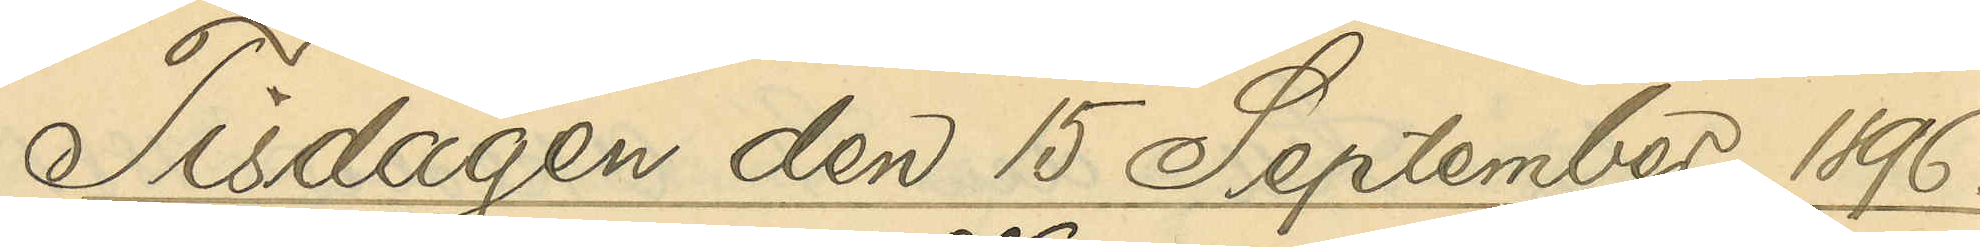Tisdagen den 15 September 1896.
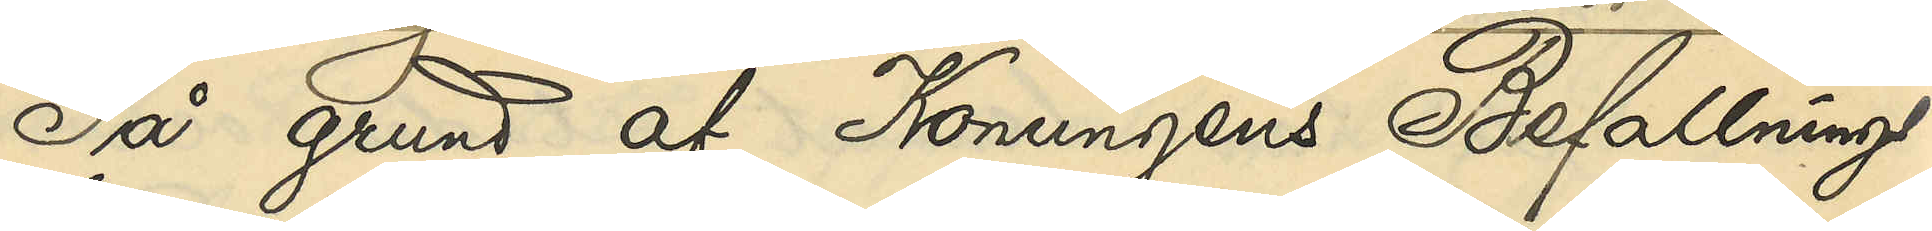På grund af Konungens Befallnings¬
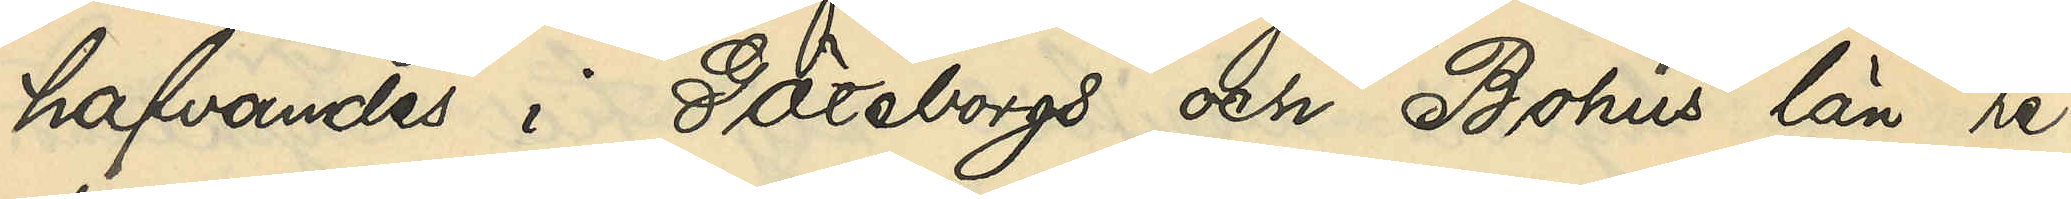hafvandes i Göteborgs och Bohus län re¬
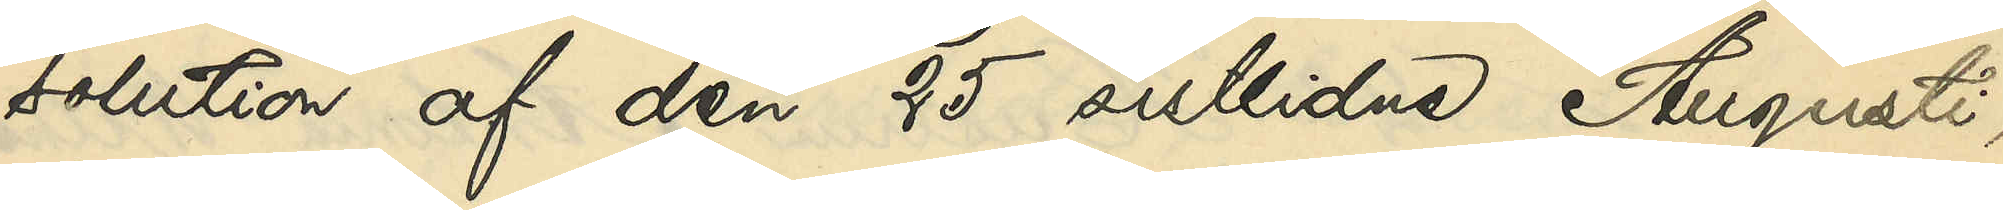solution af den 25 sistlidne Augusti,
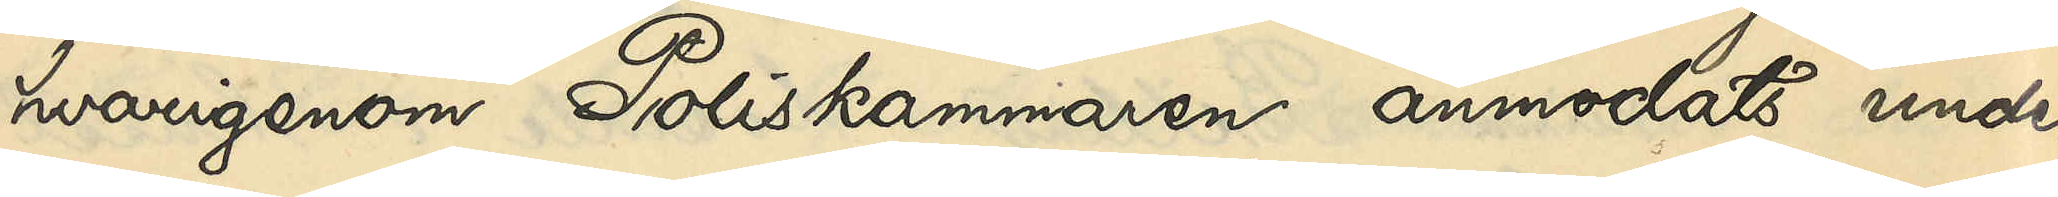hvarigenom Poliskammaren anmodats under¬
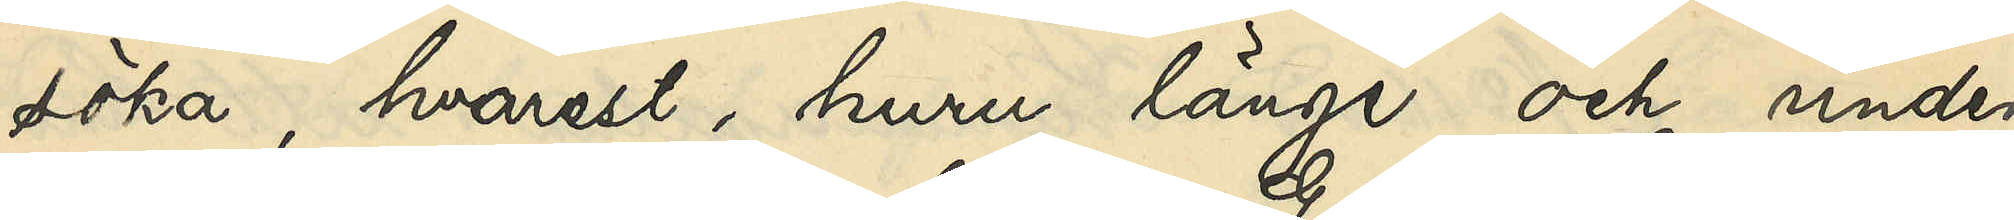söka, hvarest, huru länge och under
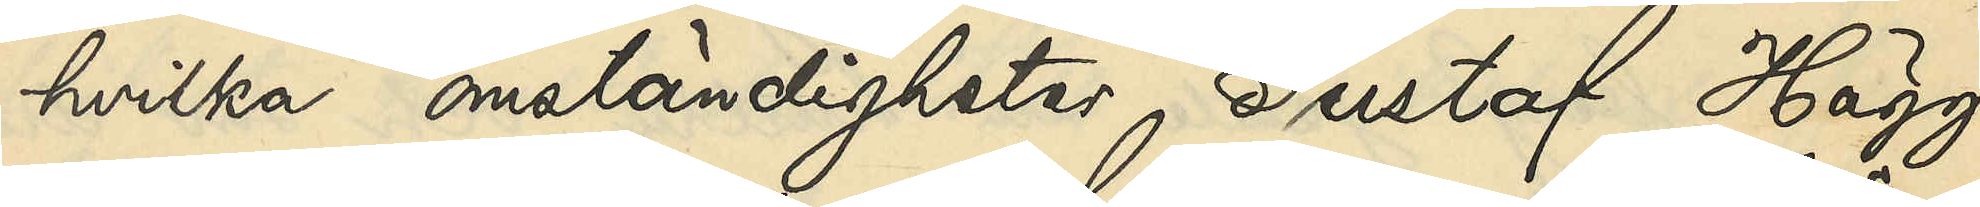hvilka omständigheter Gustaf Hägg
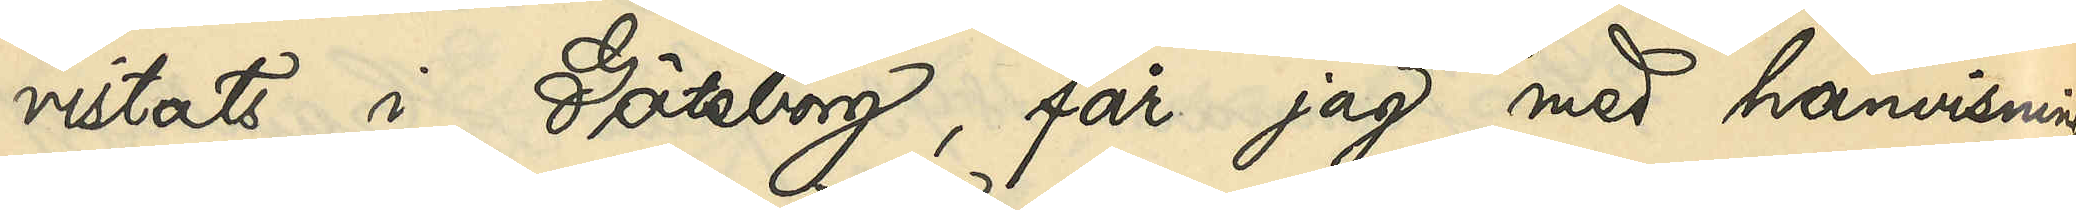vistats i Göteborg, får jag med hänvisning
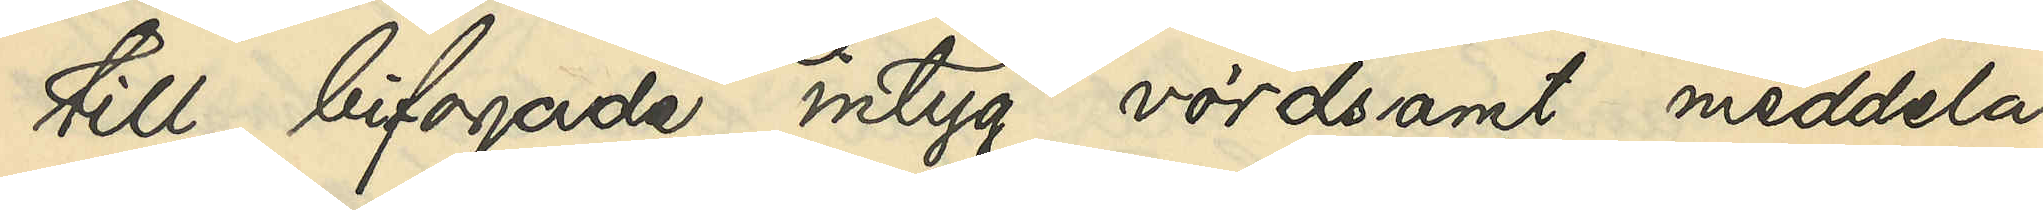till bifogade intyg vördsamt meddela;
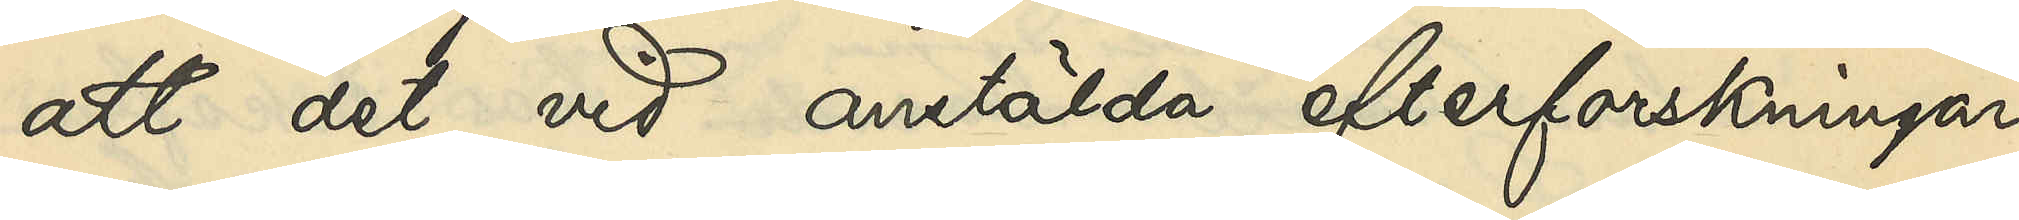att det vid anstälda efterforskningar
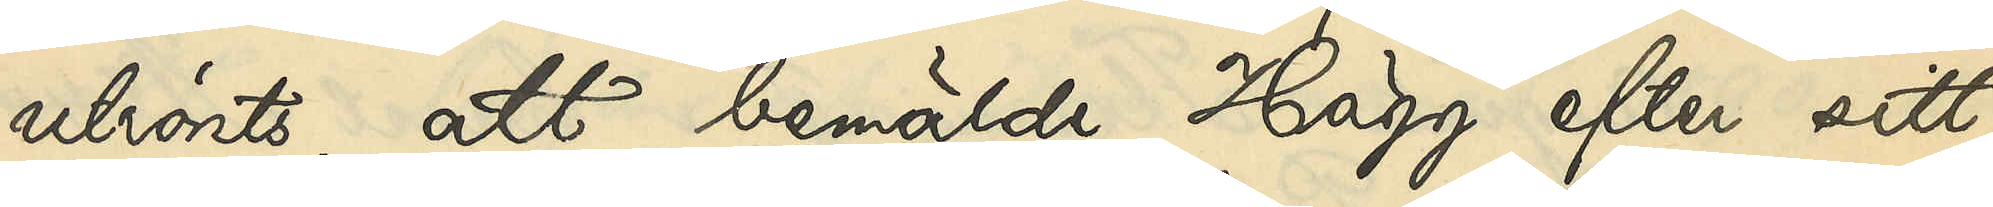utrönts, att bemälde Hägg efter sitt
